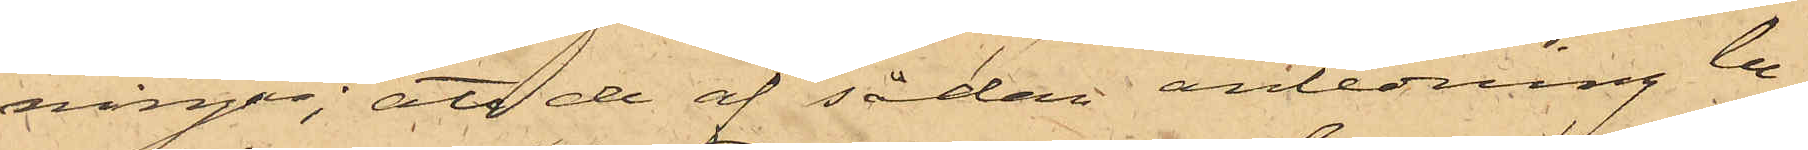ningar; att de af sådan anledning be¬
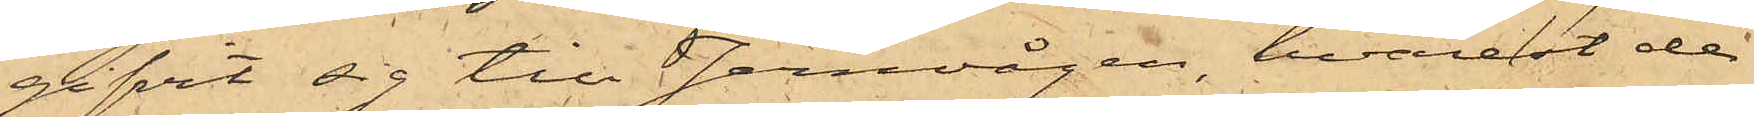gifvit sig till Jernvågen, hvarest de
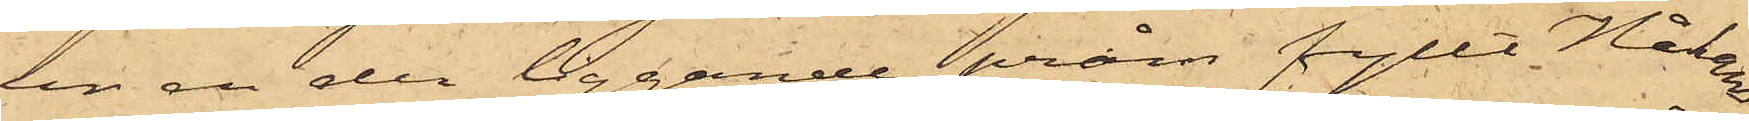ur en der liggande pråm fyllt Håkans¬
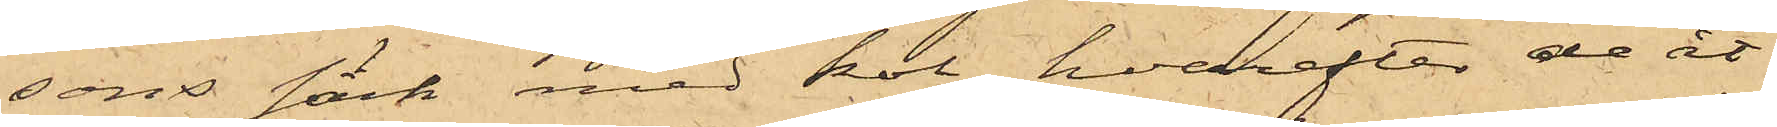sons säck med kol, hvarefter de åt¬
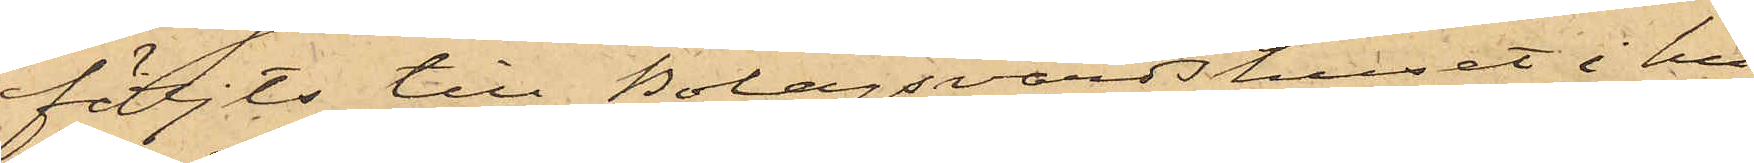följts till Bolagsvärdshuset i hu¬
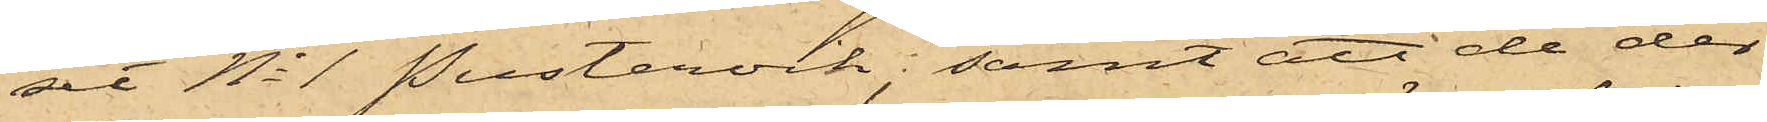set No 1 Pustervik; samt att de der
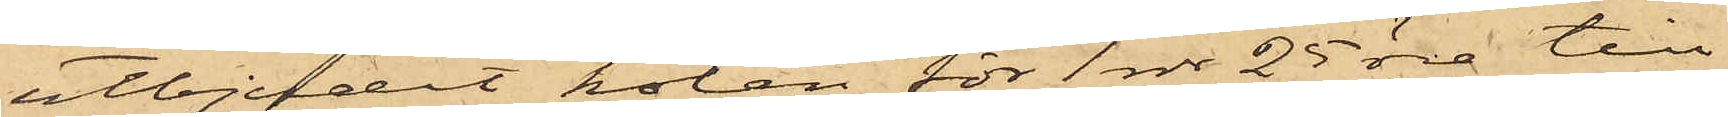utbjudit kolen för 1 rdr 25 öre till
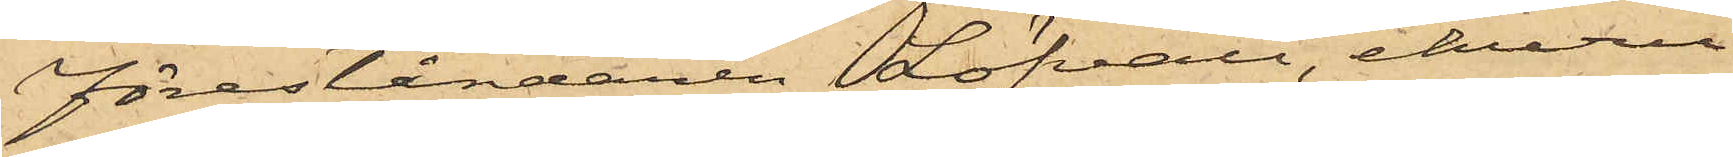Föreståndaren Löfvall, ehuru
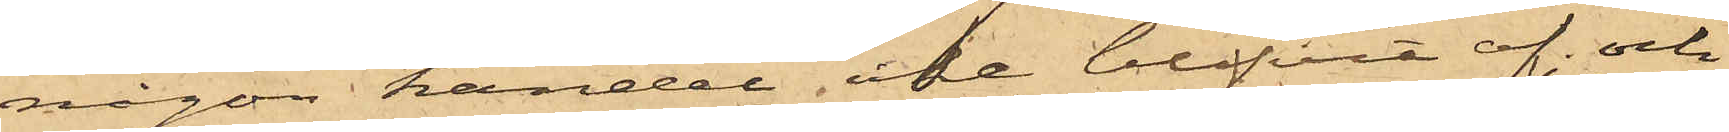någon handel icke blifvit af och
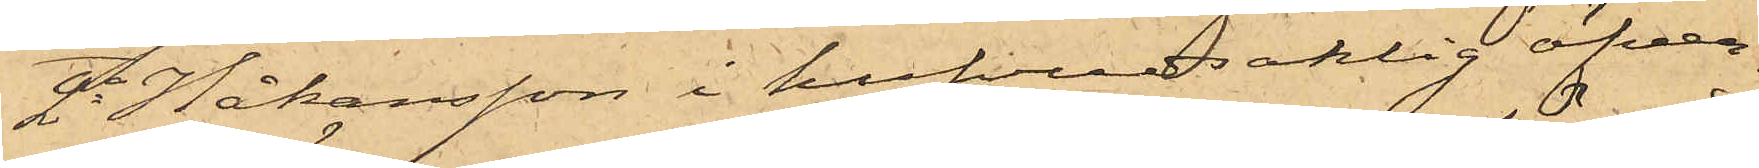2o Håkansson i hufvudsaklig öfver¬
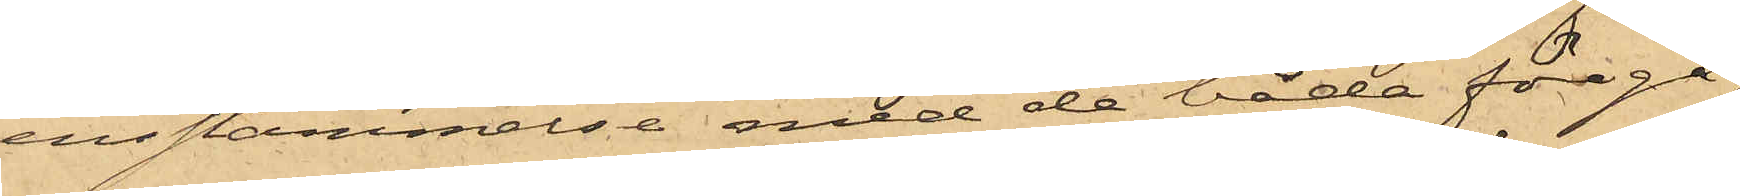ensstämmelse med de båda föregå¬
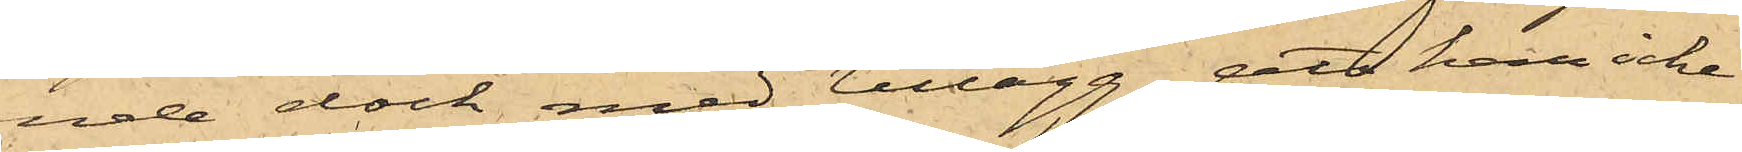ende dock med tillägg, att han icke
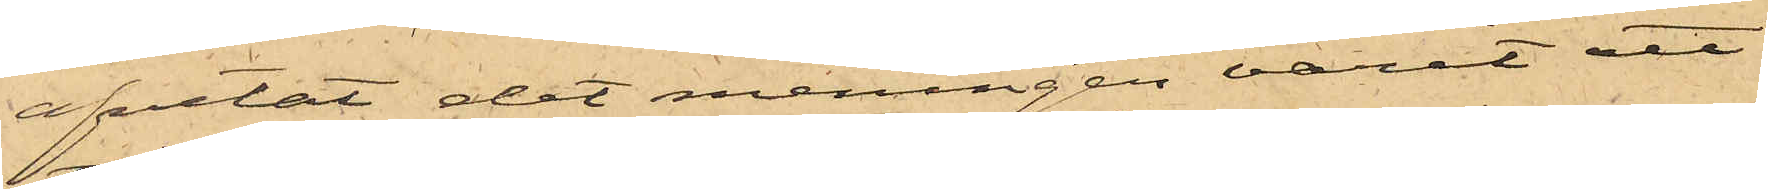afvetat det meningen varit att
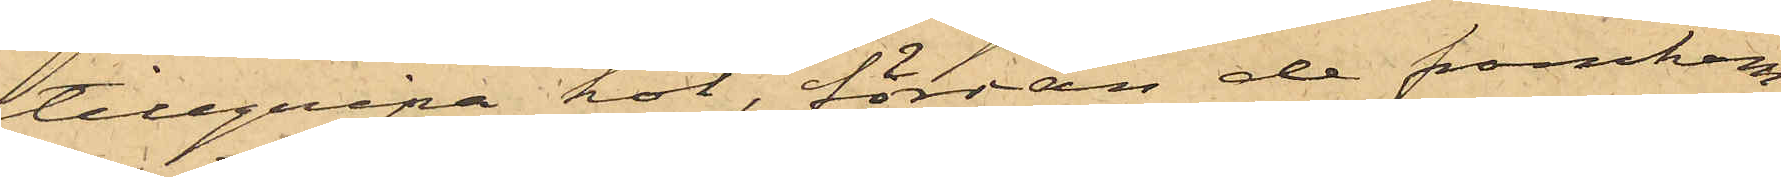tillgripa kol, förrän de framkom¬
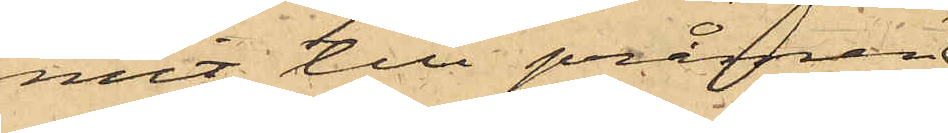mit till pråmen,
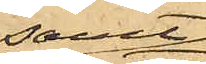samt
